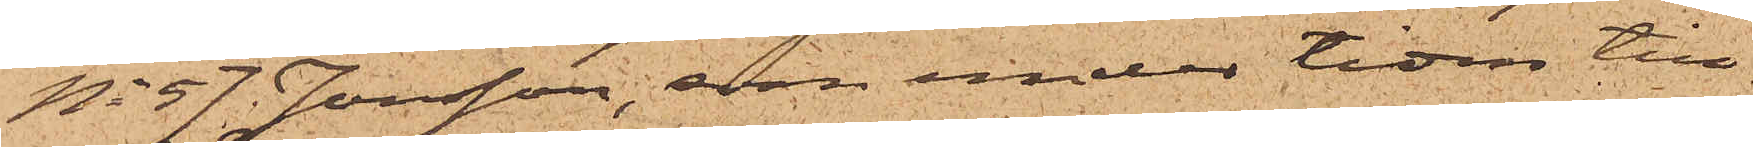No 57 Jonsson, som under tiden till¬
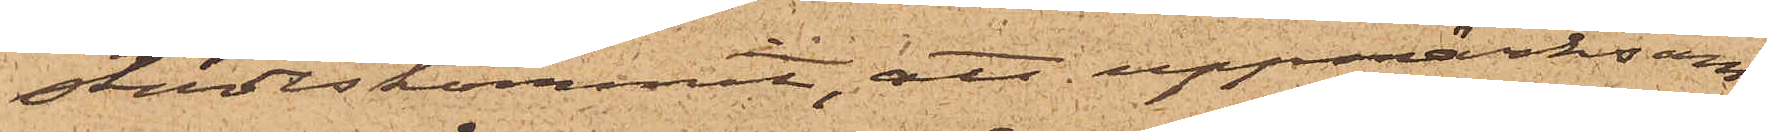städeskommit, att uppmärksam¬
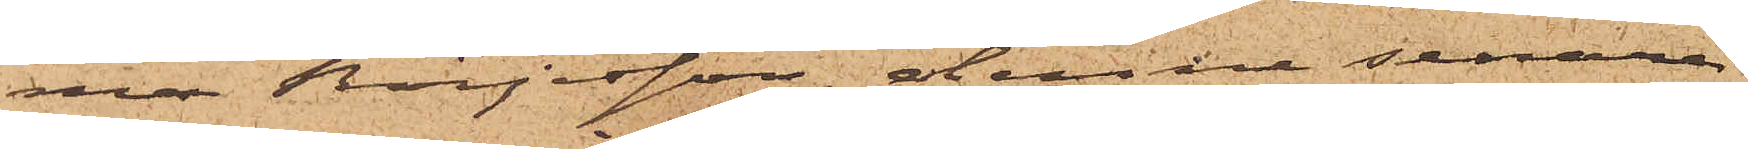ma Börjesson, denne senare
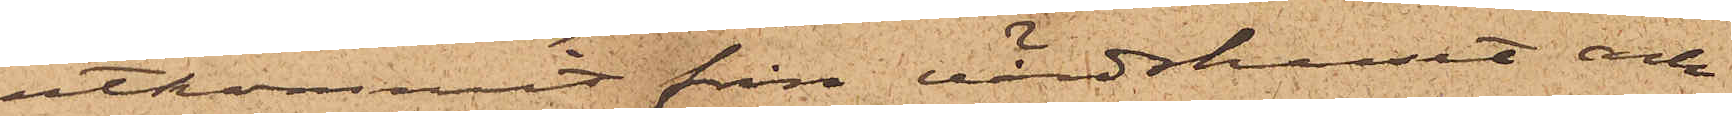utkommit från värdshuset och
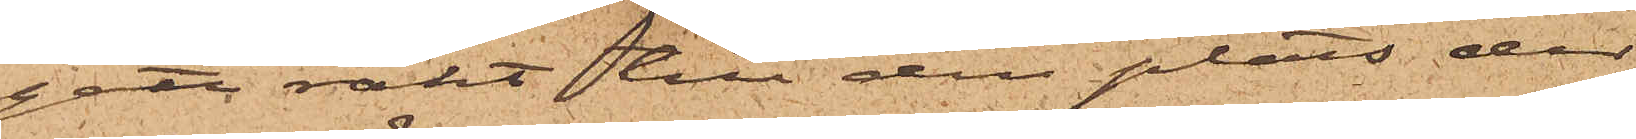gått rakt till den plats der
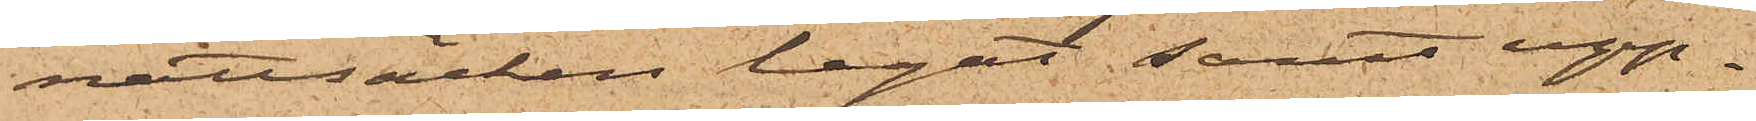nattsäcken legat; samt upp¬
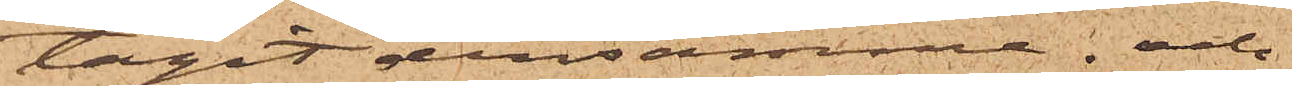tagit densamma; och
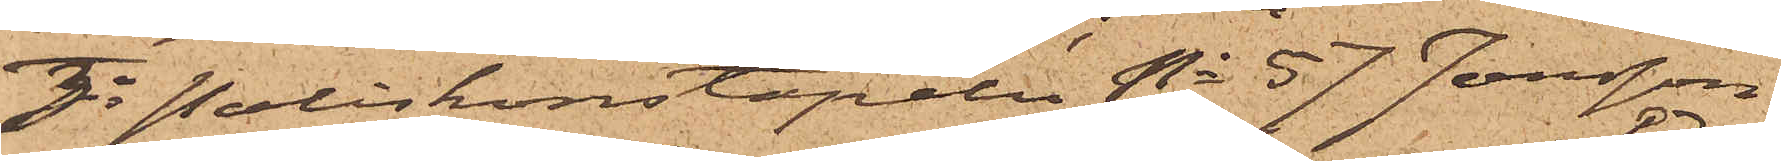3o Poliskonstapeln No 57 Jonsson,
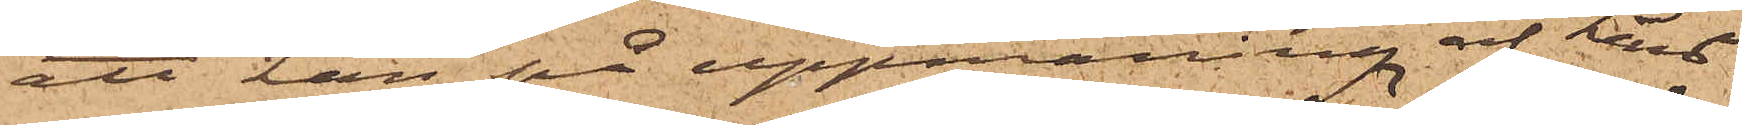att han på uppmaning af Lind¬
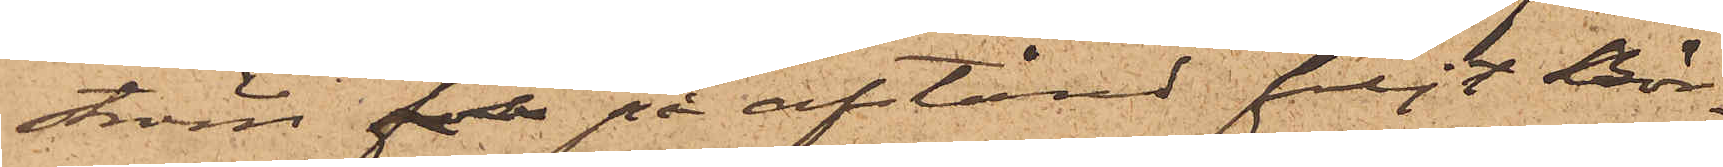ström för på afstånd följt Bör¬
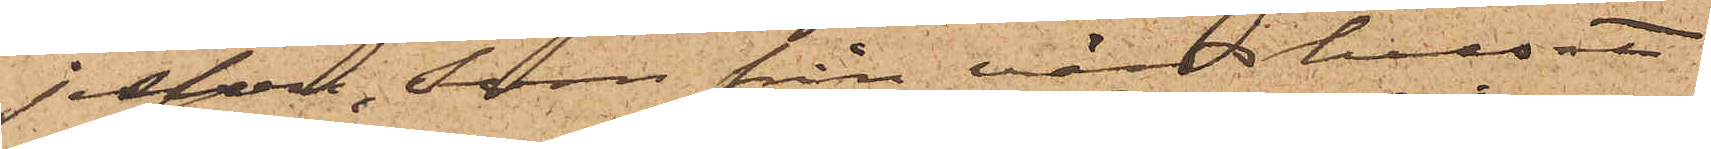jesson, Som från värdshuset
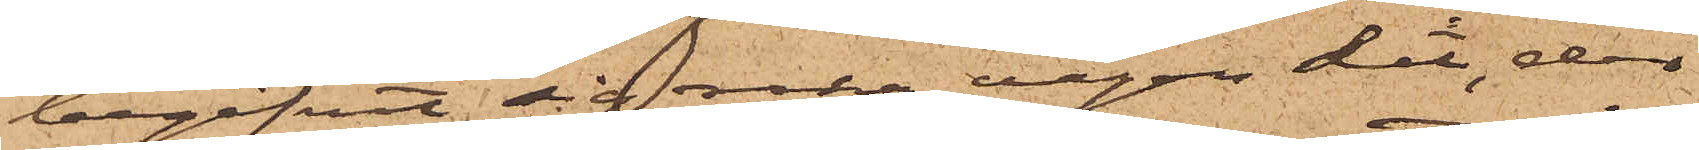begifvit sig raka vägen dit, der
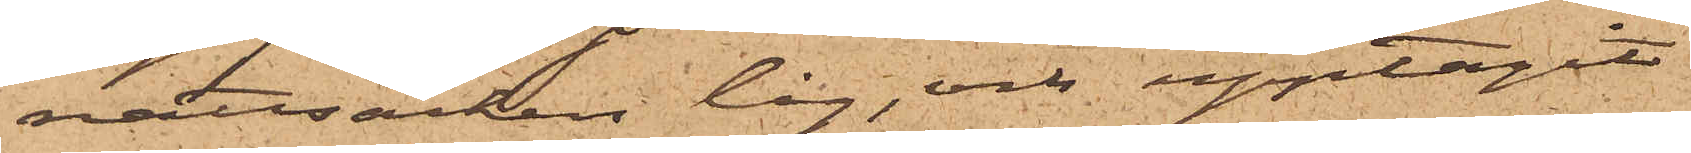nattsäcken låg, och upptagit
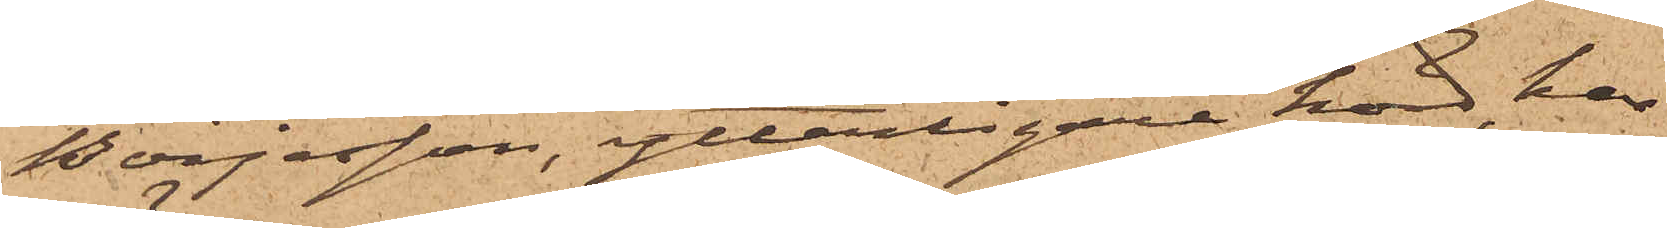Börjesson, ytterligare hörd, har
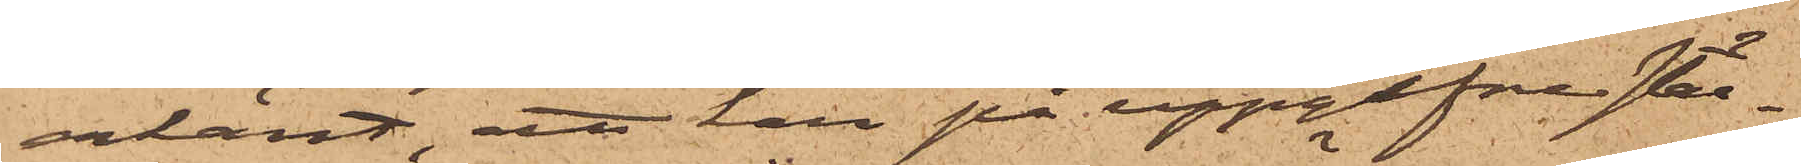erkänt, att han på uppgifne stäl¬
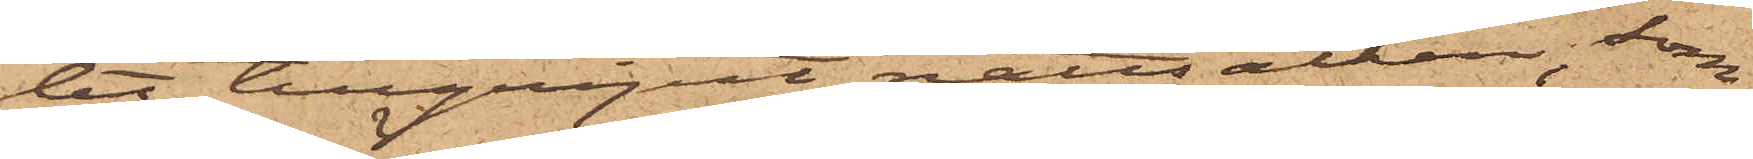let tillgripit nattsäcken, som
